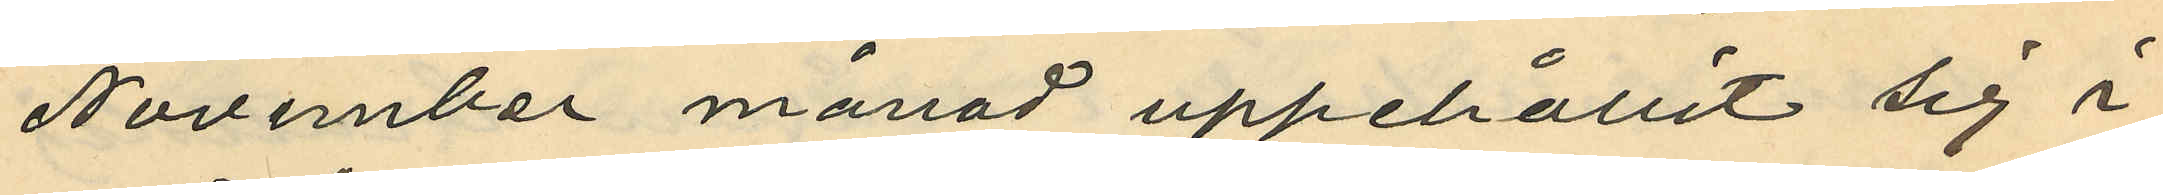November månad uppehållit sig i
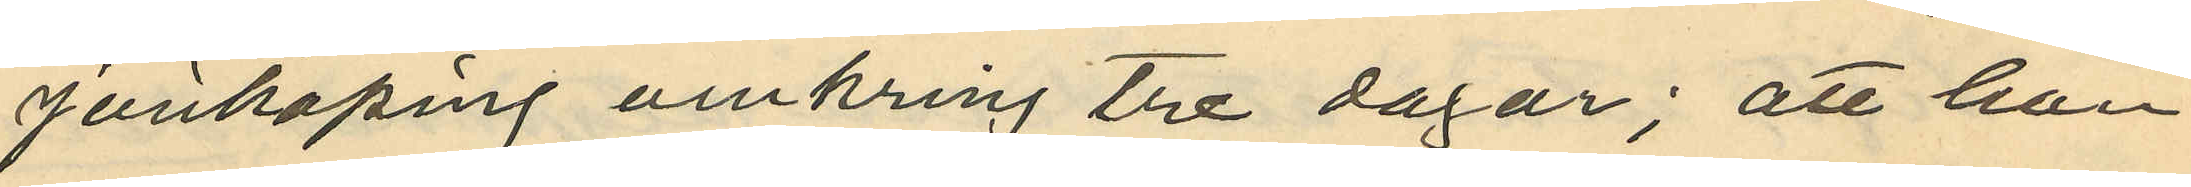Jönköping omkring tre dagar; att han
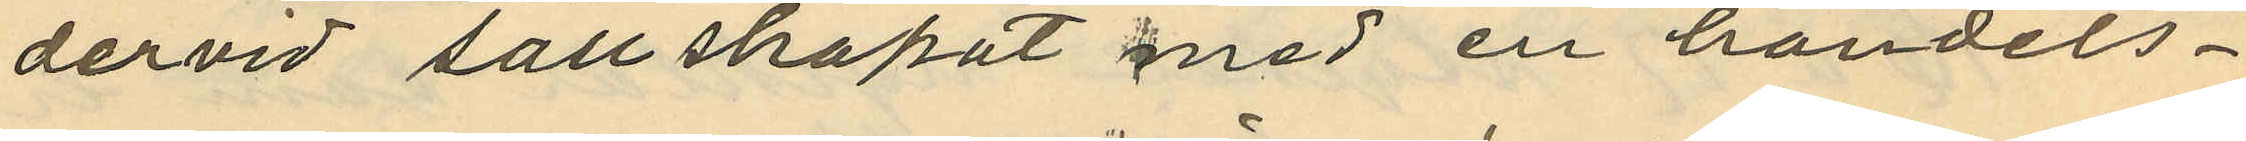dervid sällskapat med en handels¬
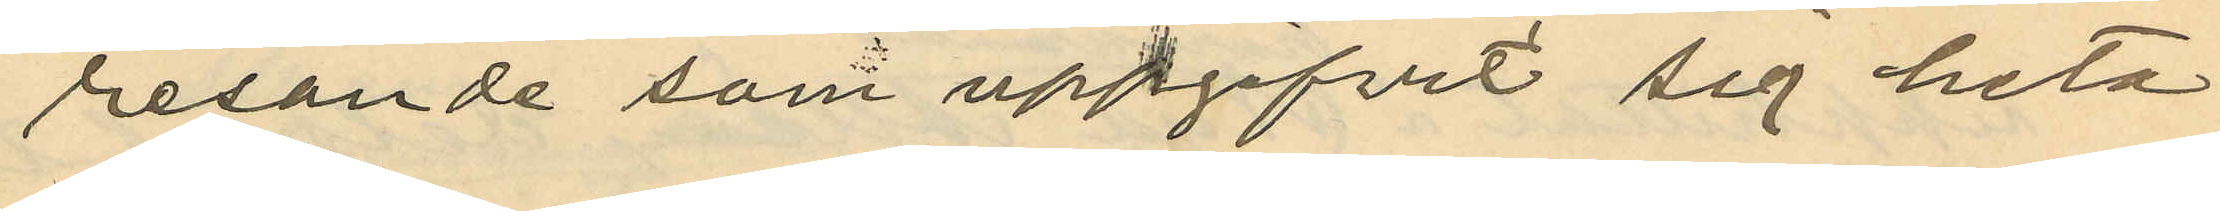resande som uppgifvit sig heta
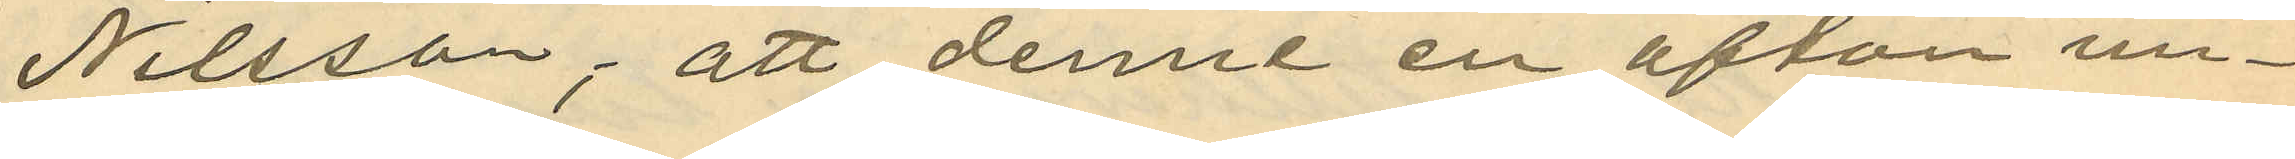Nilsson; att denne en afton un¬
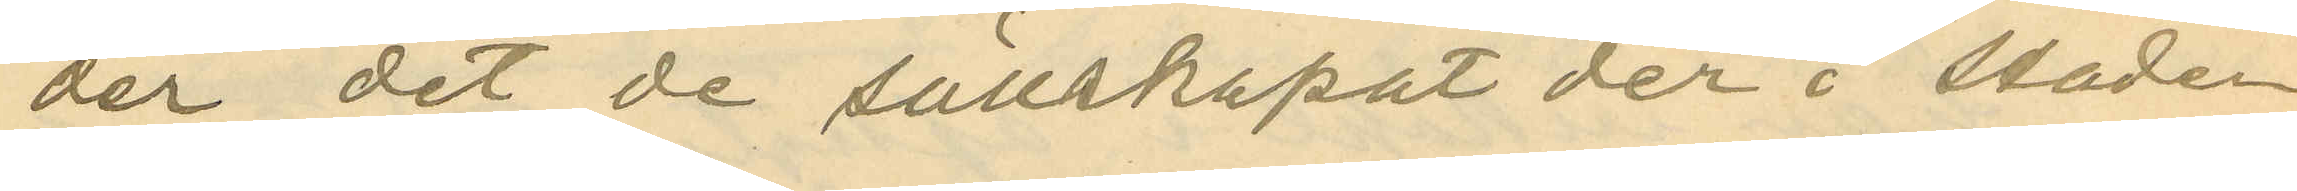der det de sällskapat der i staden
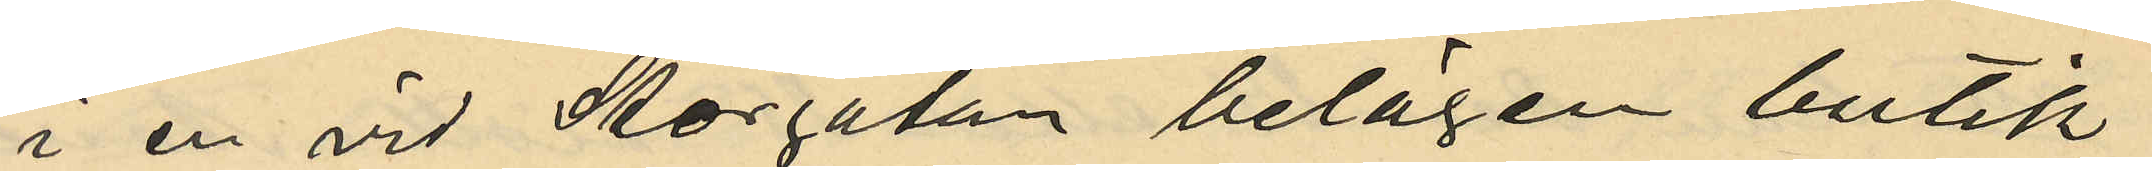i en vid Storgatan belägen butik
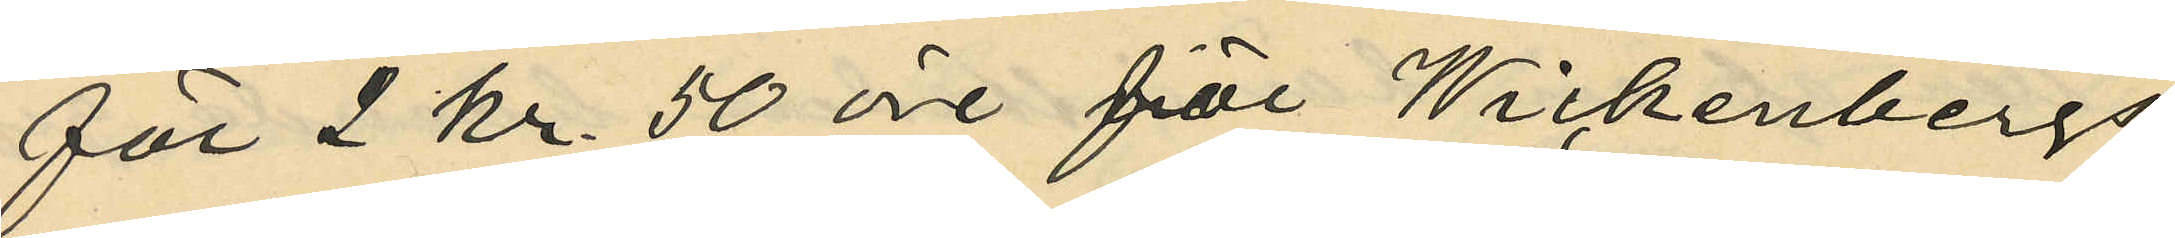för 2 kr 50 öre för Wickenbergs
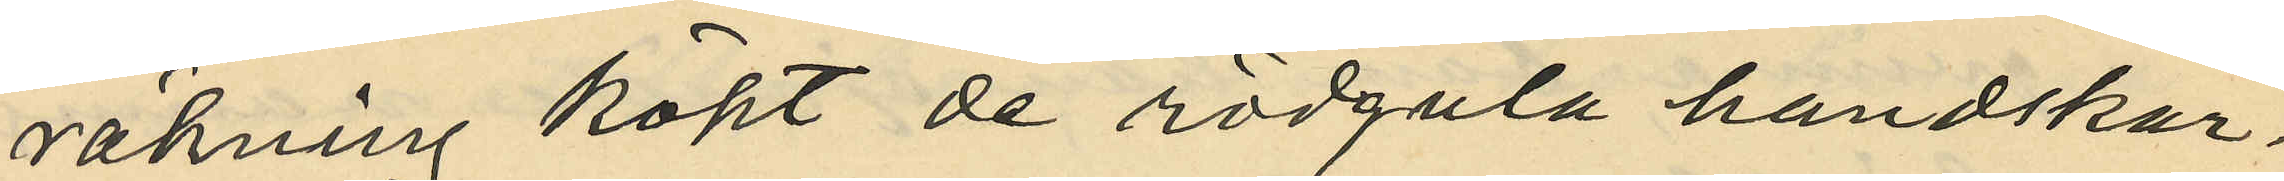räkning köpt de rödgula handskar¬
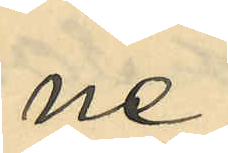ne;
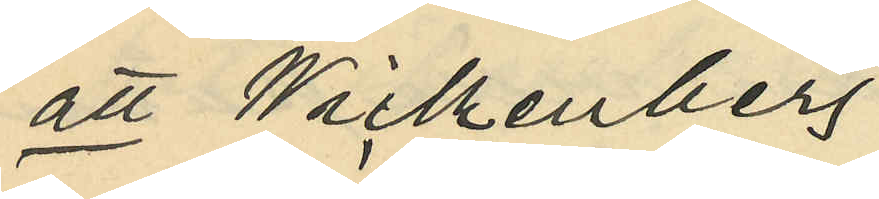att Wickenberg
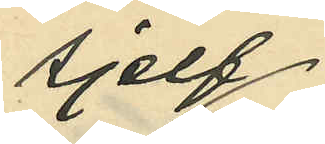sjelf
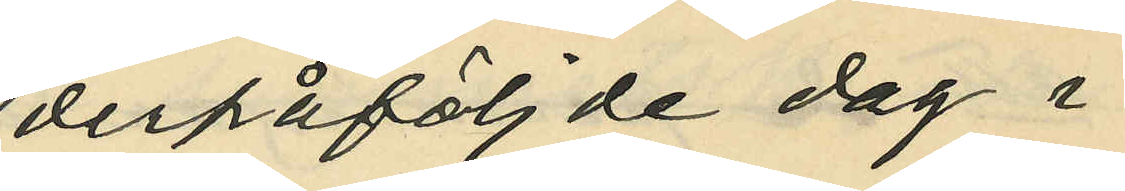derpåföljde dag i
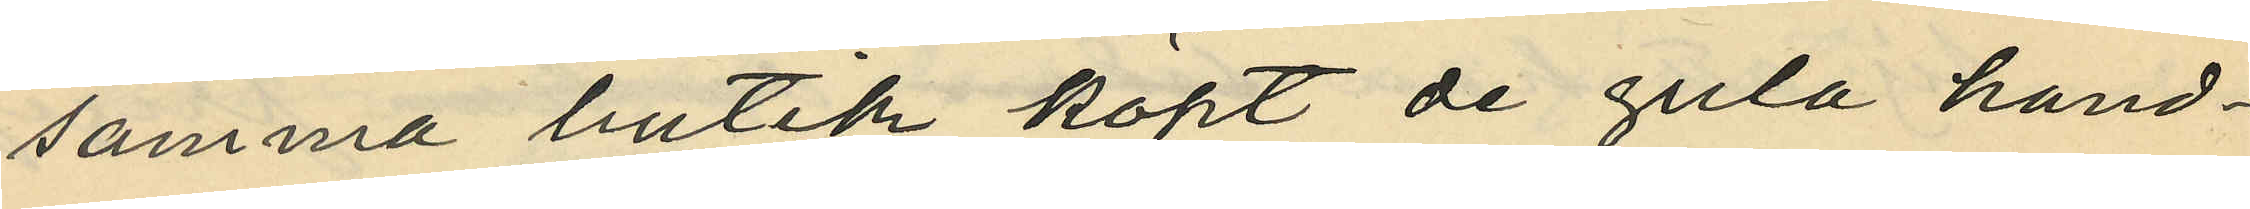samma butik köpt de gula hand¬
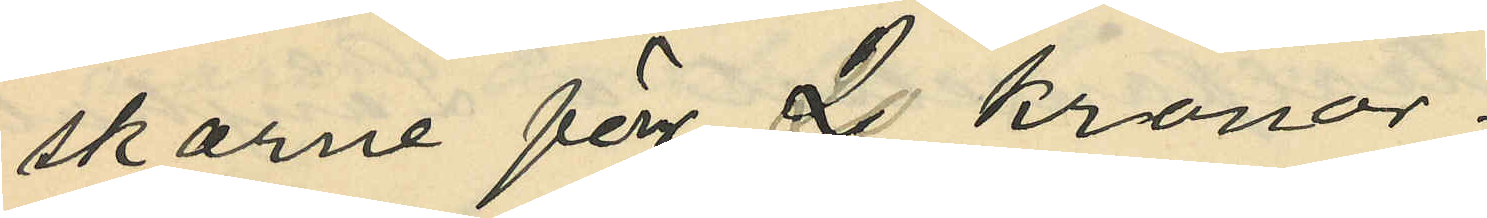skarne för 2 kronor;
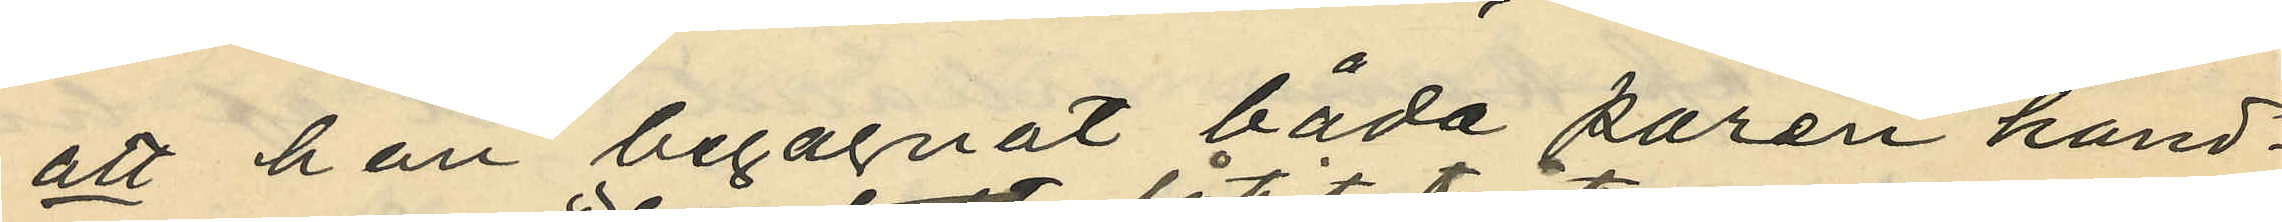att han begagnat båda paren hand¬
